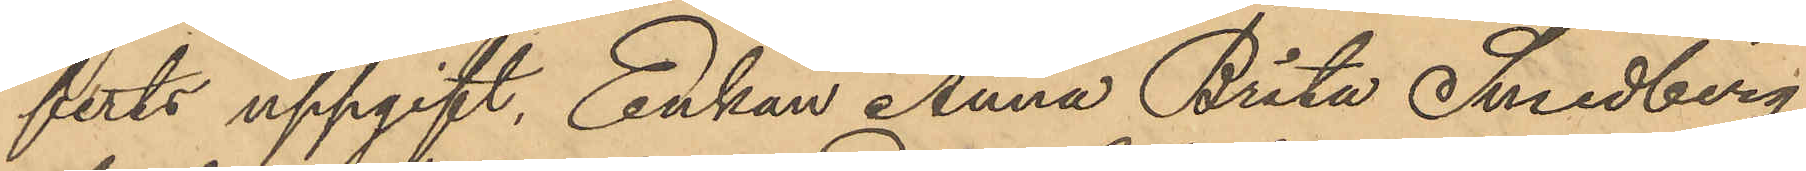ferts uppgift, Enkan Anna Brita Smedberg
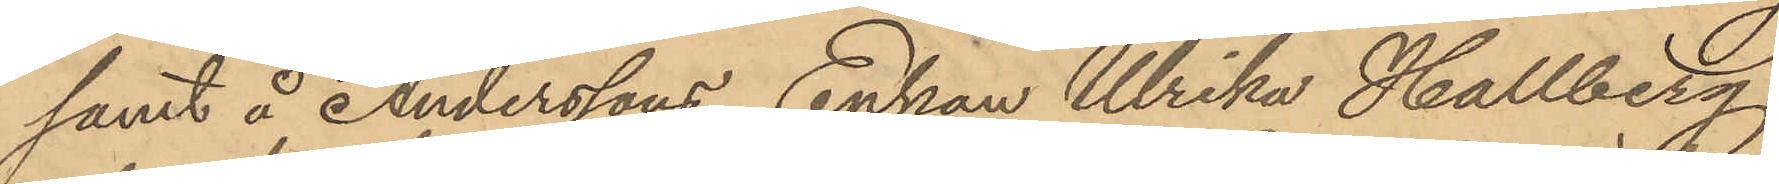samt å Anderssons, Enkan Ulrika Hallberg
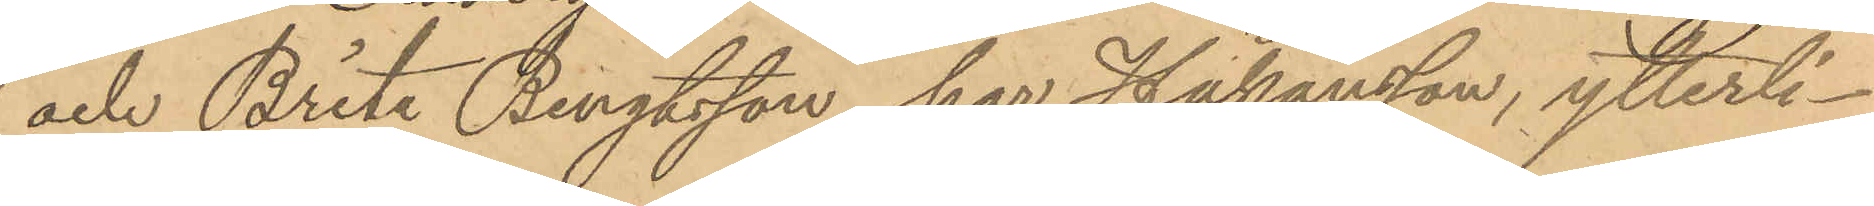och Brita Bengtsson har Håkansson, ytterli¬
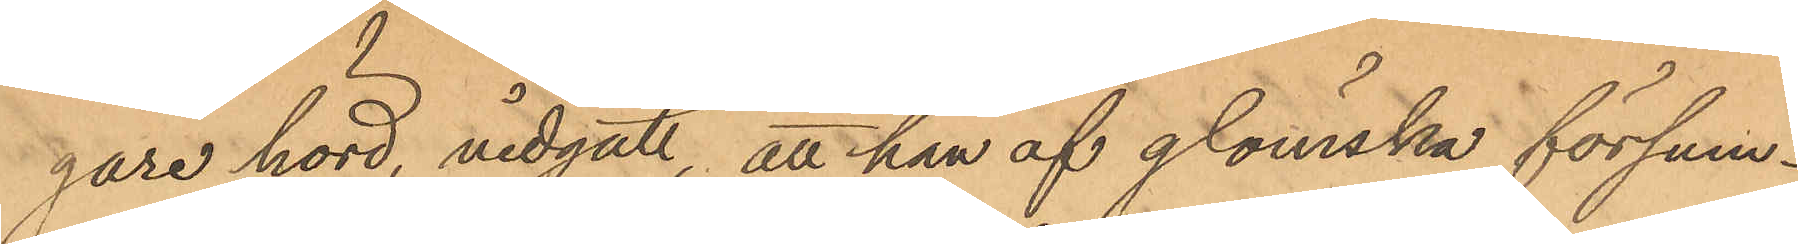gare hörd, vidgått, att han af glömska försum¬
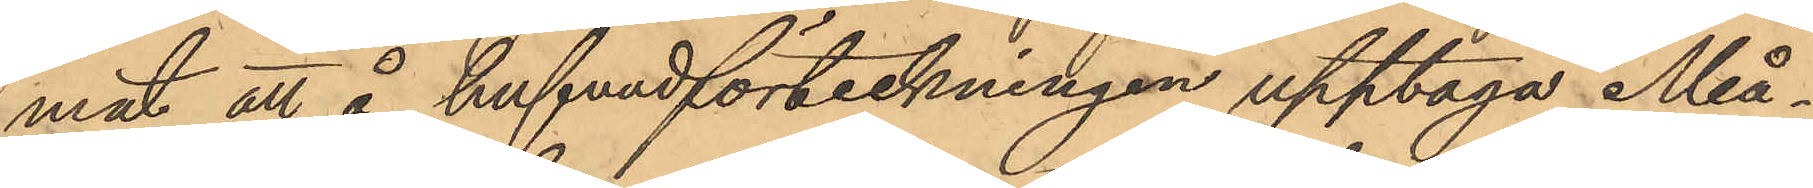mat att å hufvudförteckningen upptaga Må¬
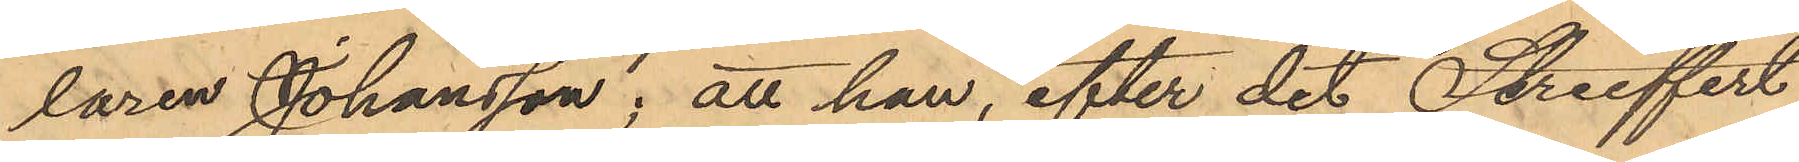laren Johansson; att han, efter det Streeffert
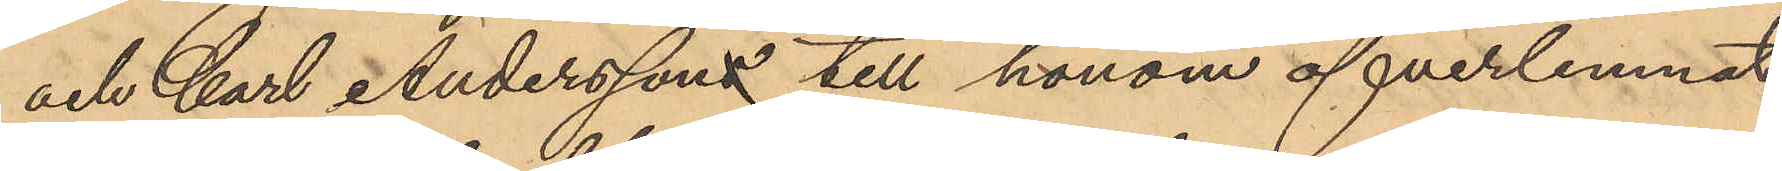och Carl Anderssons till honom öfverlemnat
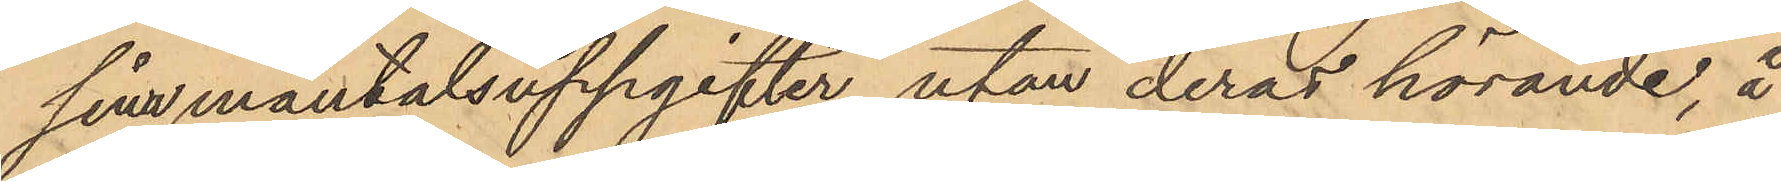sina mantalsuppgifter utan deras hörande, å
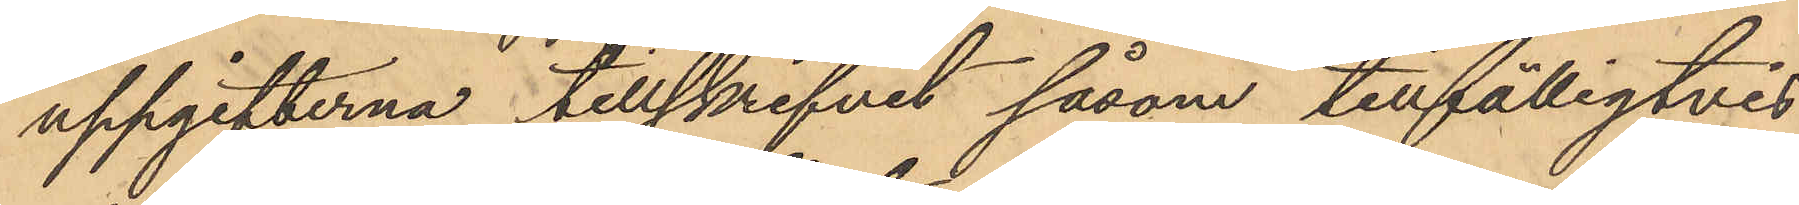uppgifterna tillskrifvit såsom tillfälligtvis
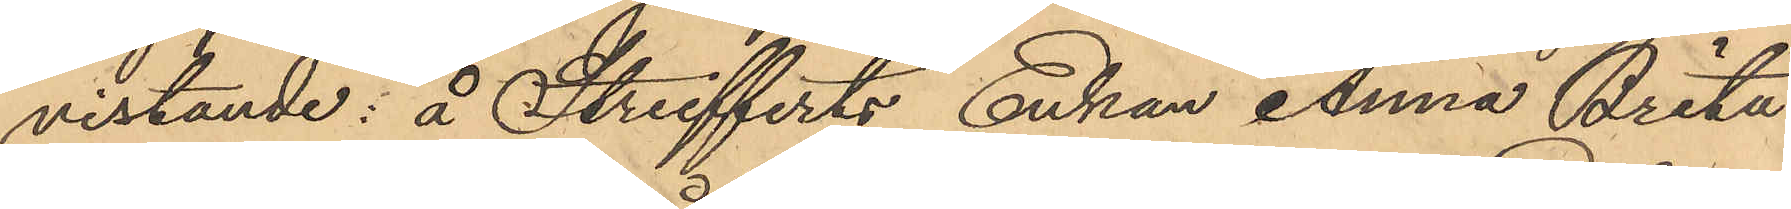vistande: å Streifferts Enkan Anna Brita
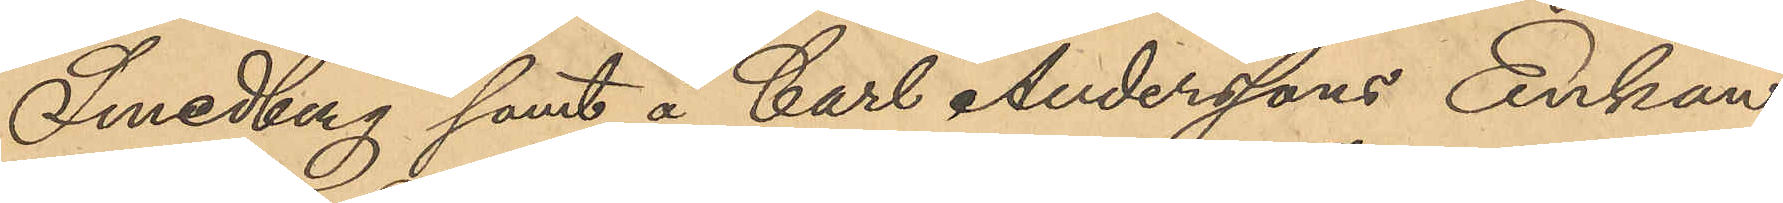Smedberg samt å Carl Anderssons Enkan
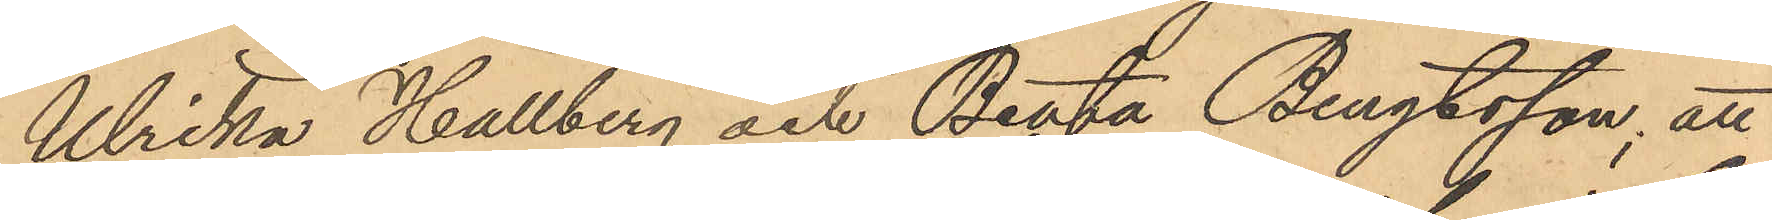Ulrika Hallberg och Beata Bengtsson; att
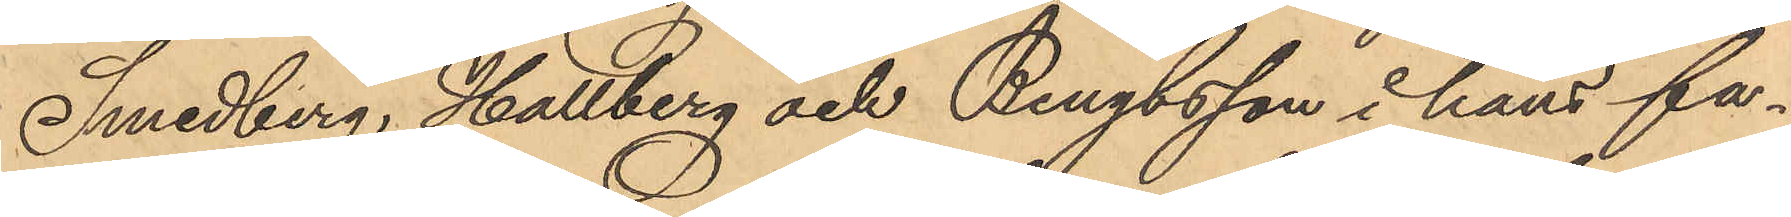Smedberg, Hallberg och Bengtsson i hans fa¬
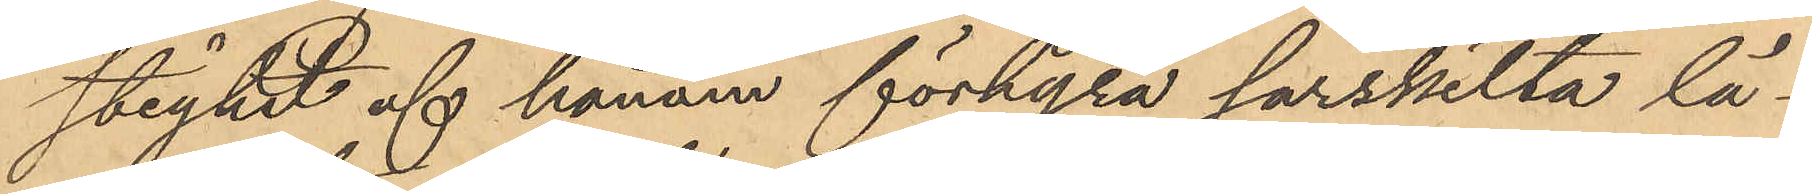stighet af honom förhyra särskilta lä¬
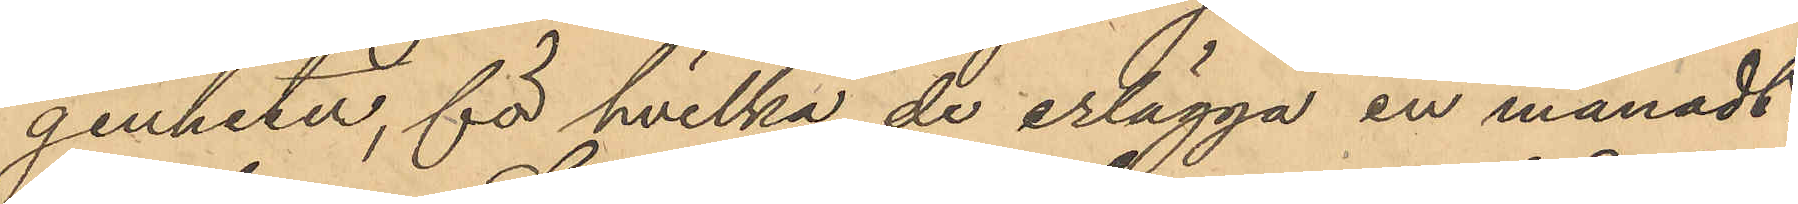genheter, för hvilka de erlägga en månadt¬
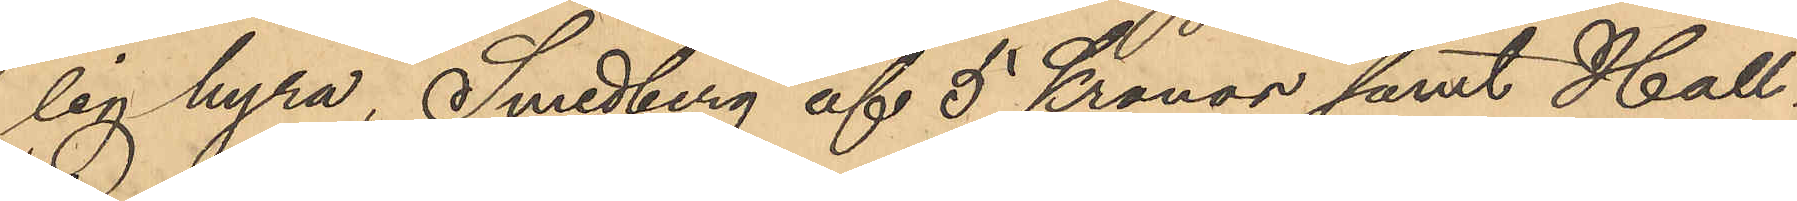lig hyra, Smedberg af 5 Kronor samt Hall¬
